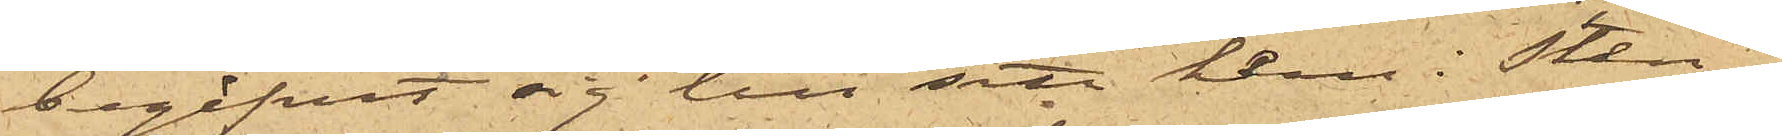begifvit sig till sitt hem i Sten¬
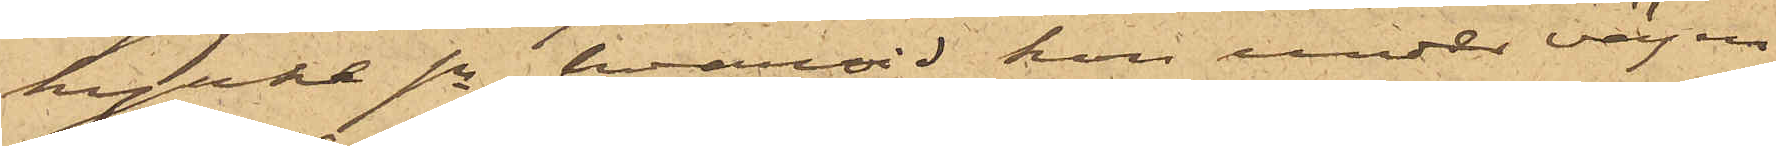kyrke sn,, hvarvid hon under vägen
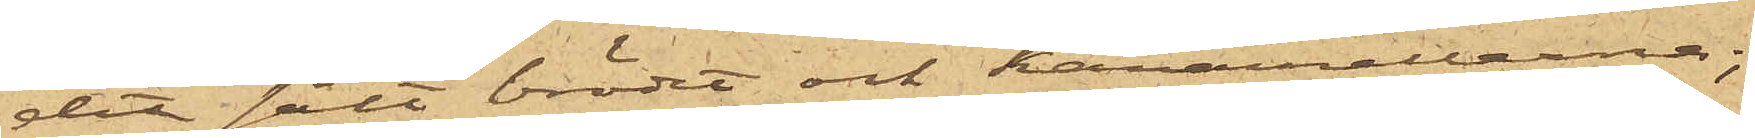dit sålt brödet och karamellerna;
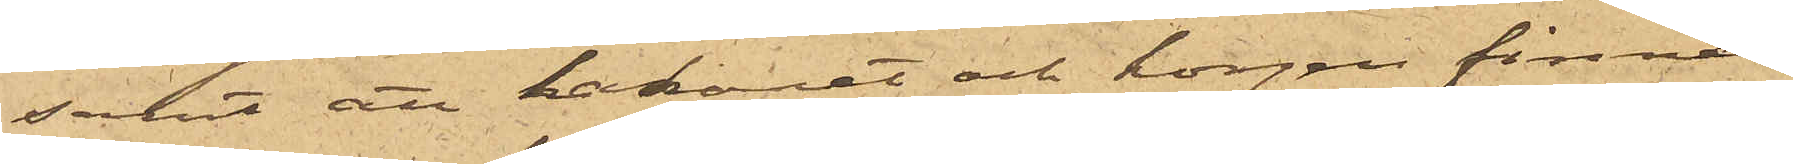samt att lakanet och korgen finnes
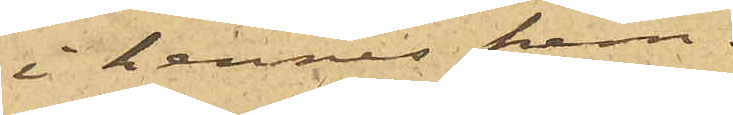i hennes hem.
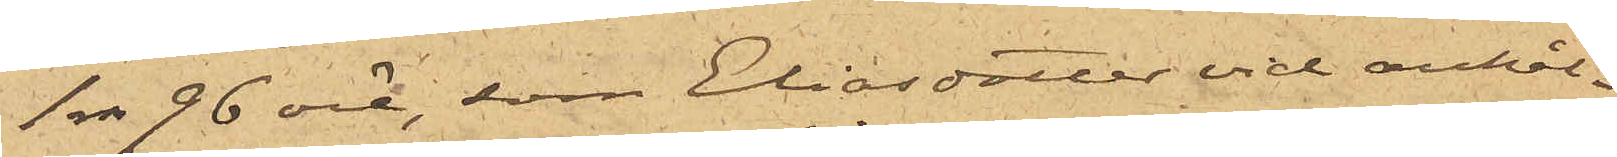1 rdr 96 öre, som Eliasdotter vid anhål¬
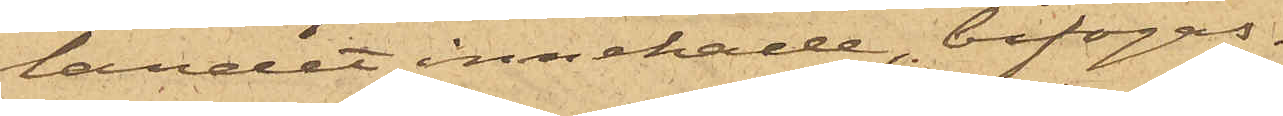landet innehade, bifogas.
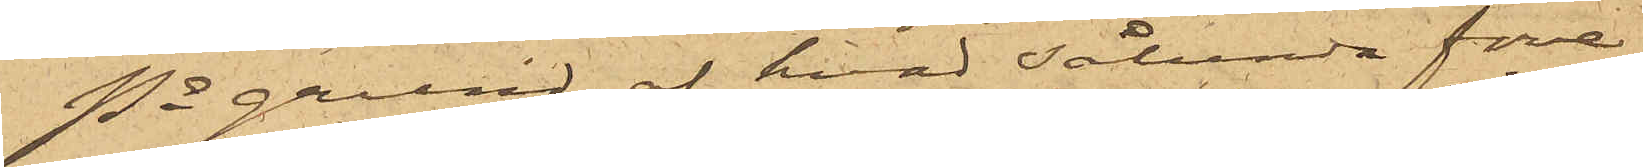På grund af hvad sålunda före¬
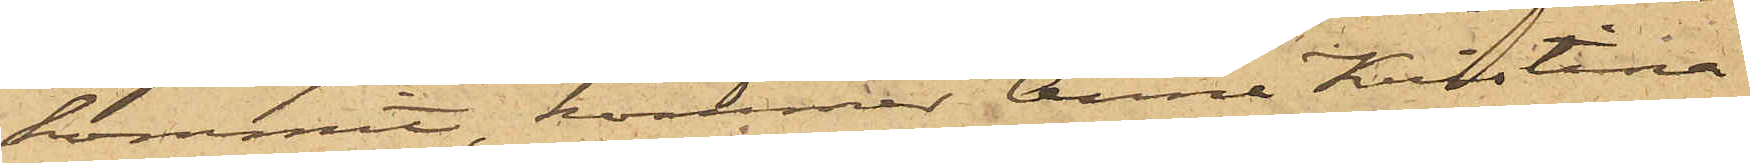kommit, kommer Anna Kristina
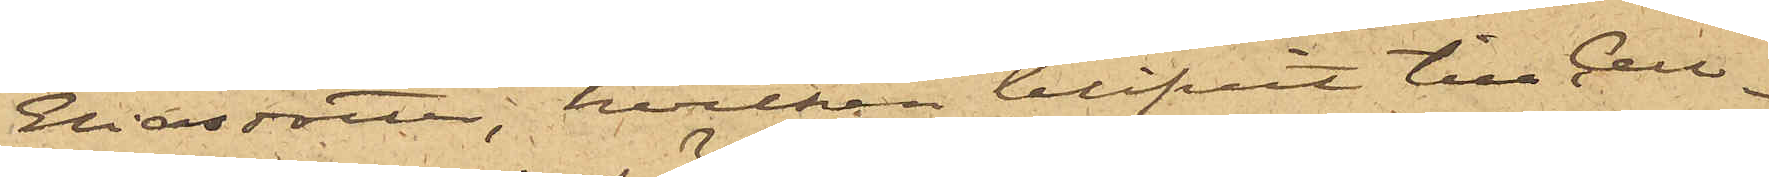Eliasdotter, hvilken blifvit till Cell¬
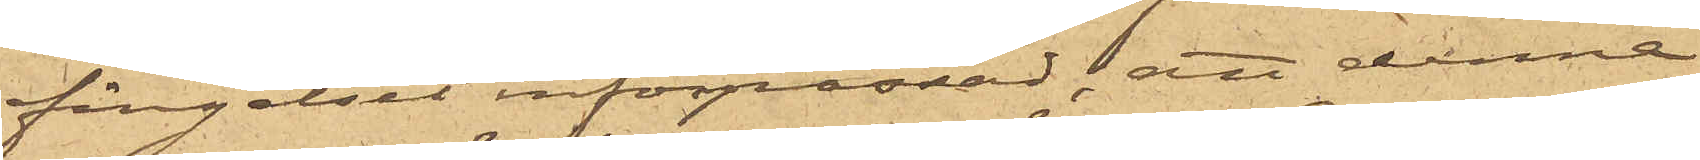fängelset införpassad; att denna
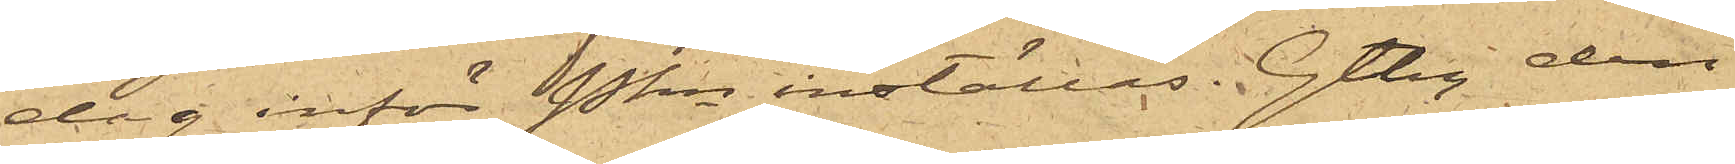dag inför Pkn inställas. Gtbg den
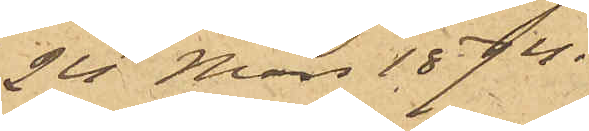24 Mars 1874.
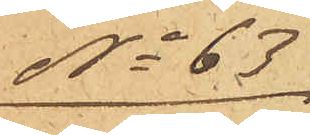No 63
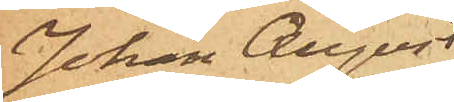Johan August
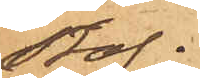Staf.
